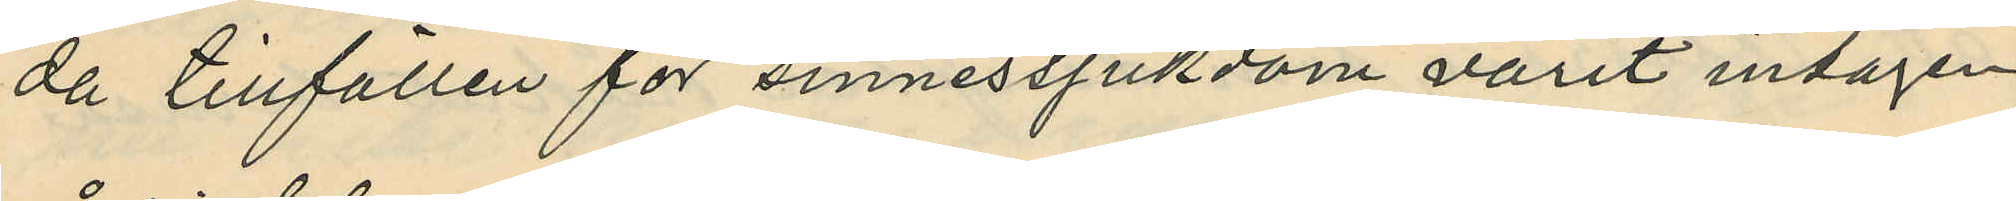de tillfällen för sinnessjukdom varit intagen
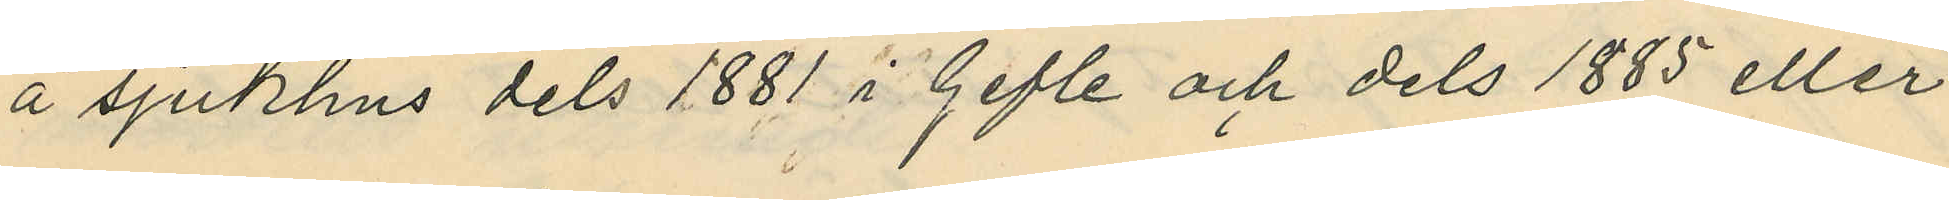å sjukhus dels 1881 i Gefle och dels 1885 eller
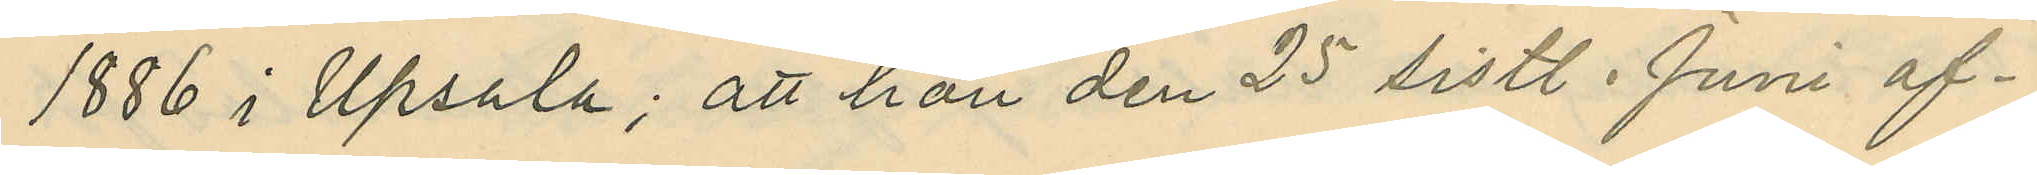1886 i Upsala; att han den 25 sistl. Juni af¬
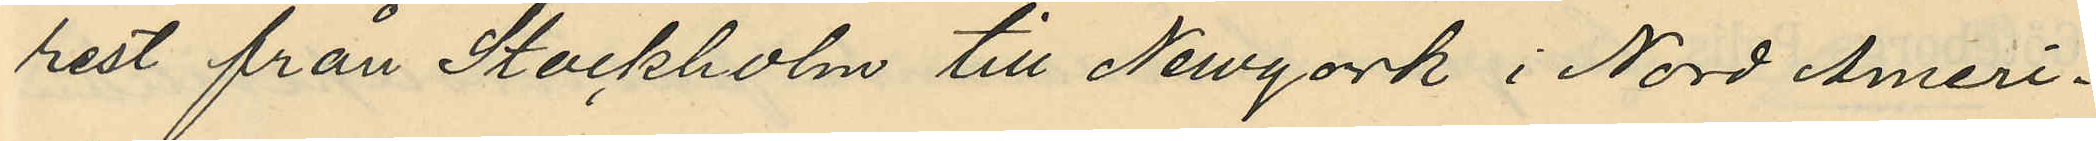rest från Stockholm till Newyork i Nord Ameri¬
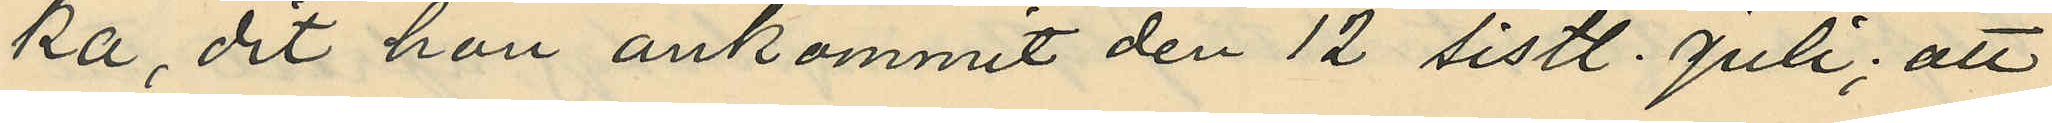ka, dit hon ankommit den 12 sistl. Juli; att
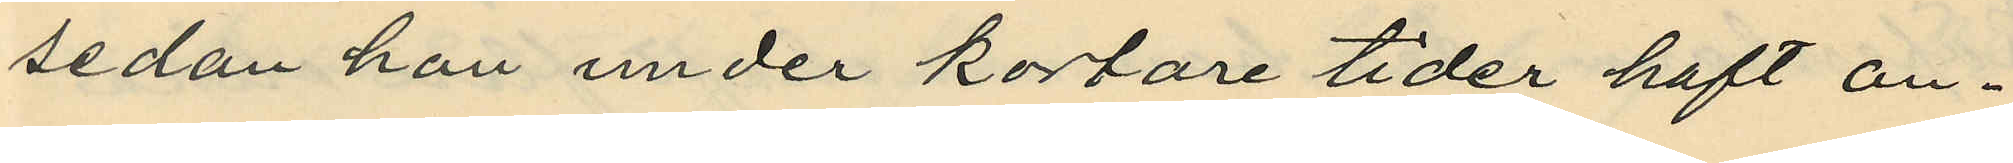sedan hon under kortare tider haft an¬
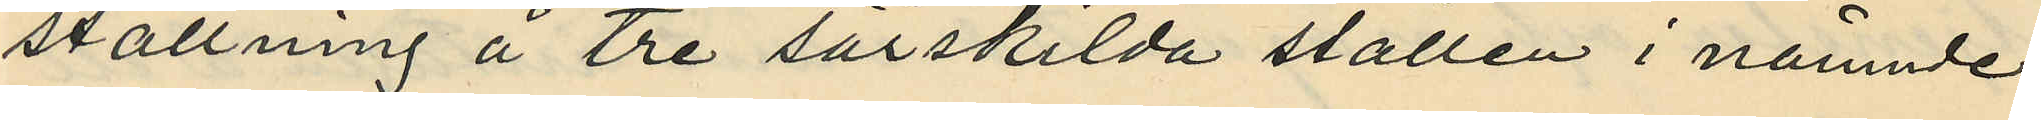ställning å tre särskilda ställen i nämnde
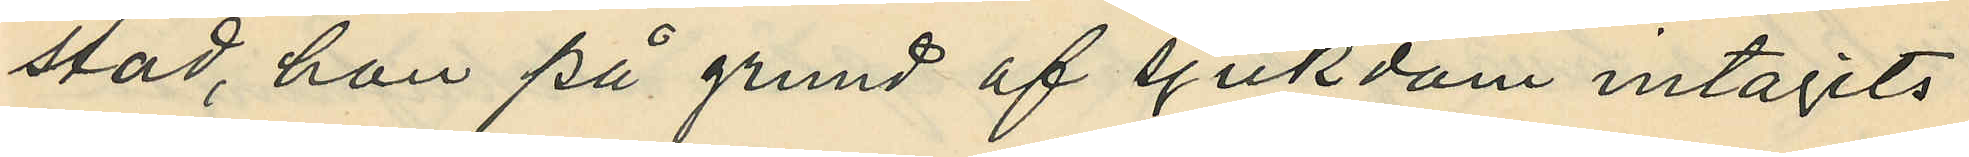stad, han på grund af sjukdom intagits
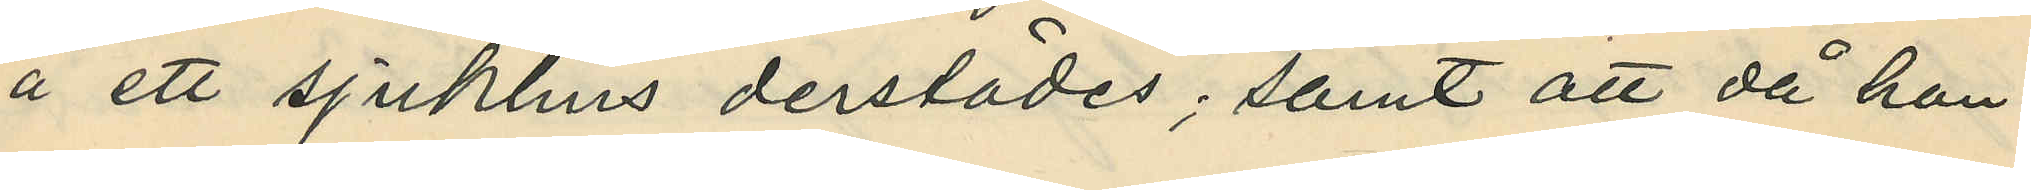å ett sjukhus derstädes; samt att då hon
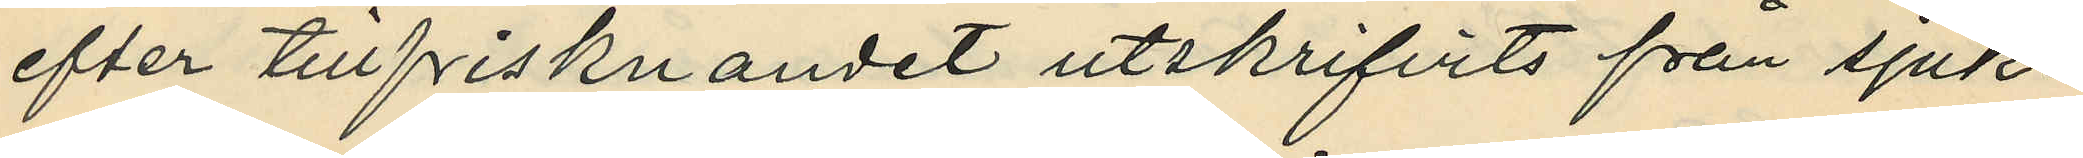efter tillfrisknandet utskrifvits från sjuk¬
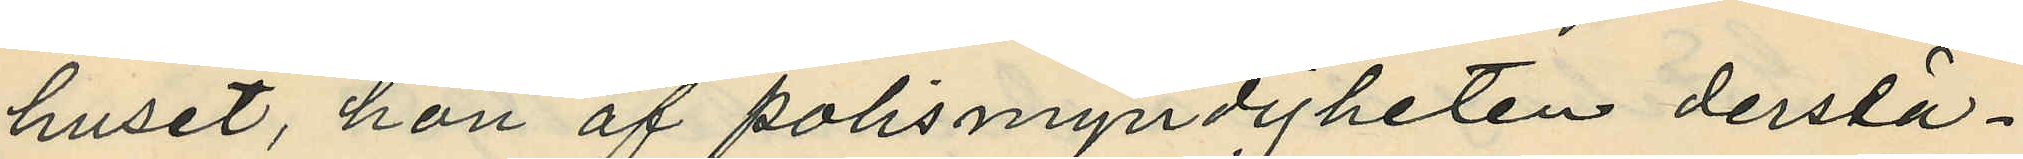huset, hon af polismyndigheten derstä¬
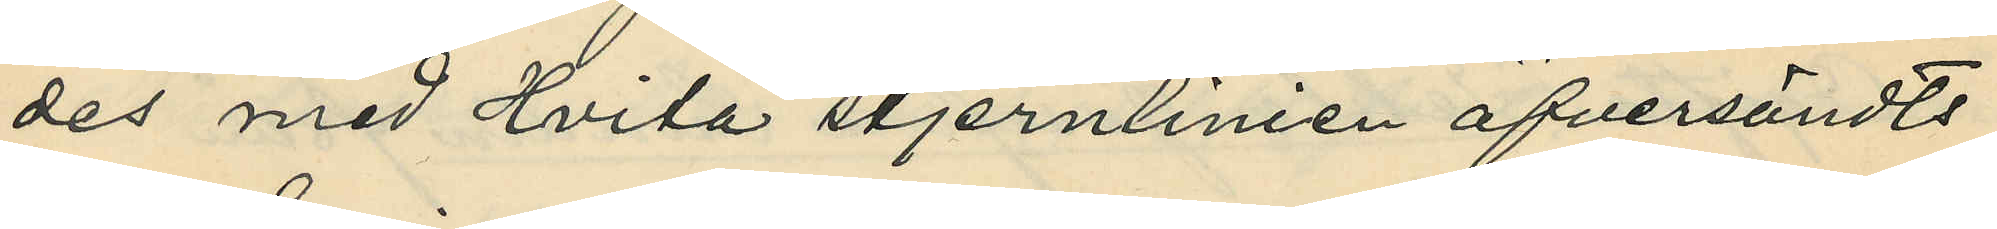des med Hvita stjernlinien öfversändts
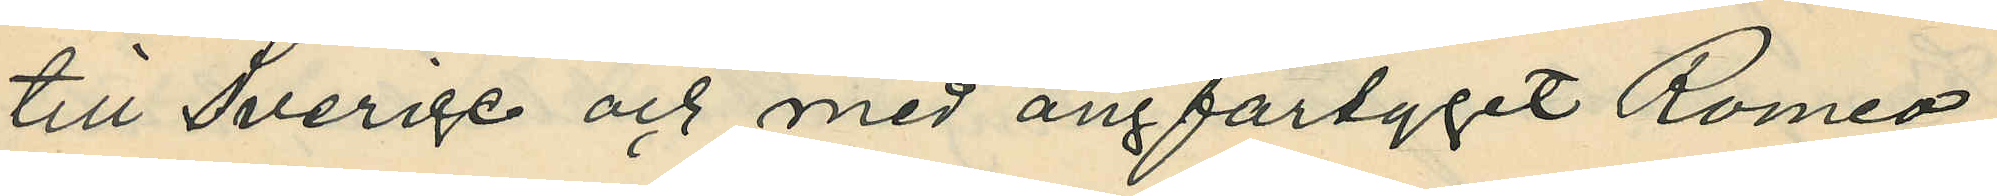till Sverige och med ångfartyget Romeo
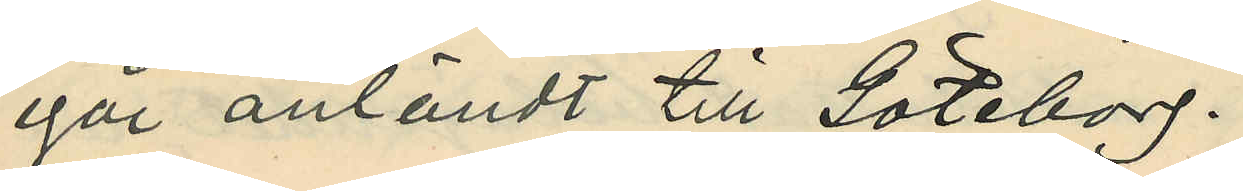igår anländt till Göteborg.
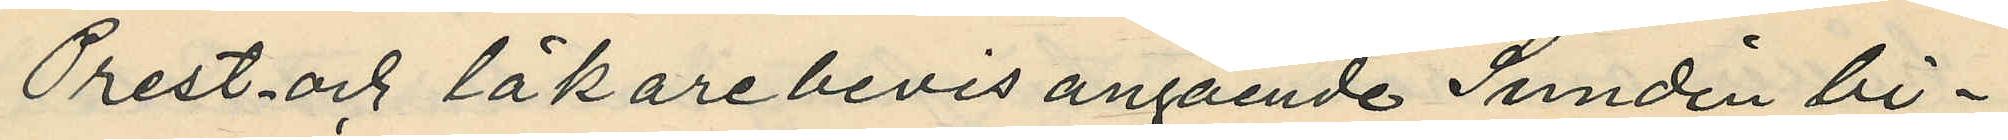Prest- och läkarebevis angående Sundin bi¬
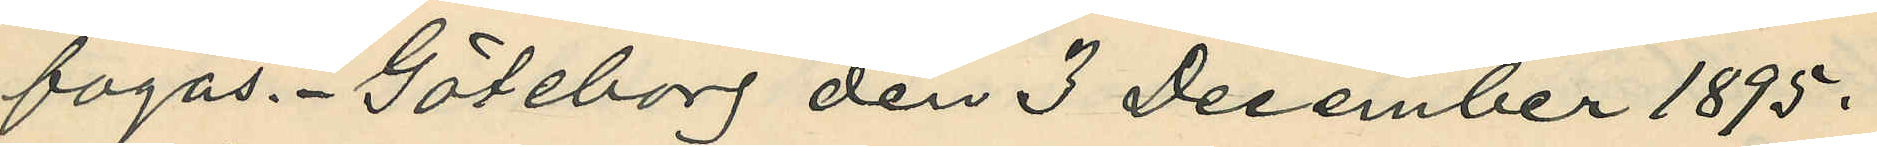fogas. Göteborg den 3 December 1895.
